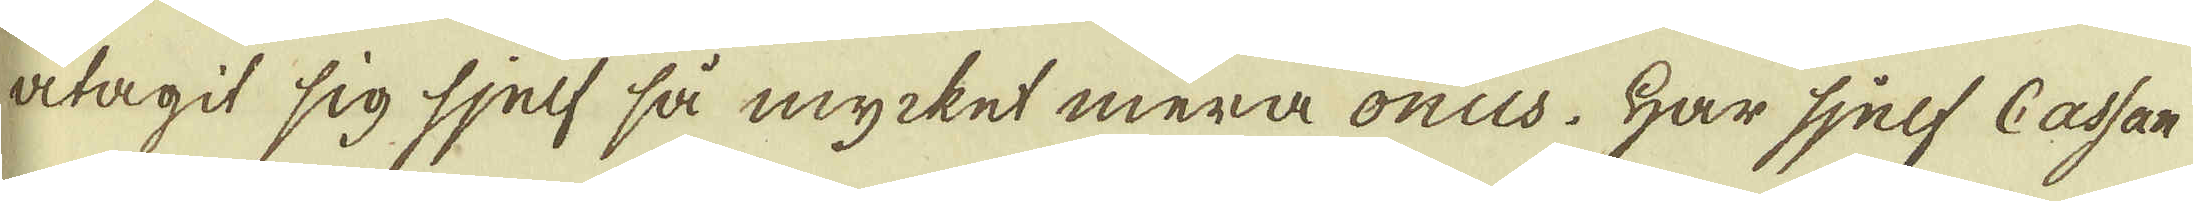åtagit sig sjelf så mycket mera onus. Har sjelf Cassan
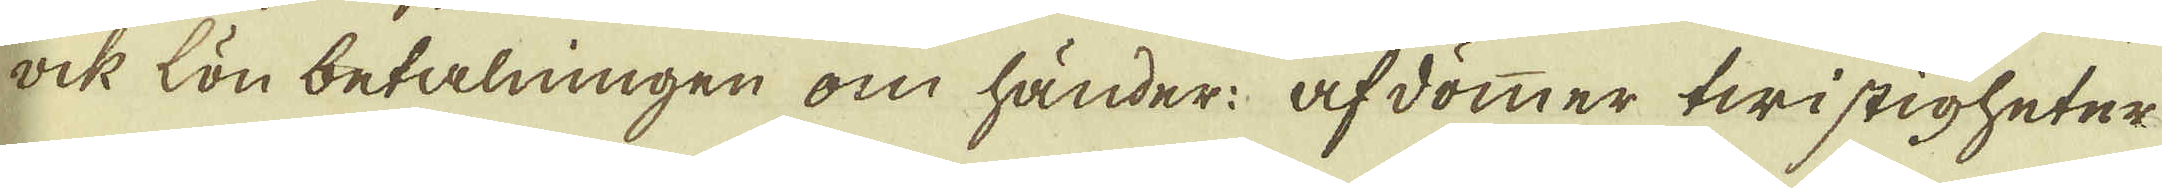ock lön betalningen om händer: afdömmer twistigheter
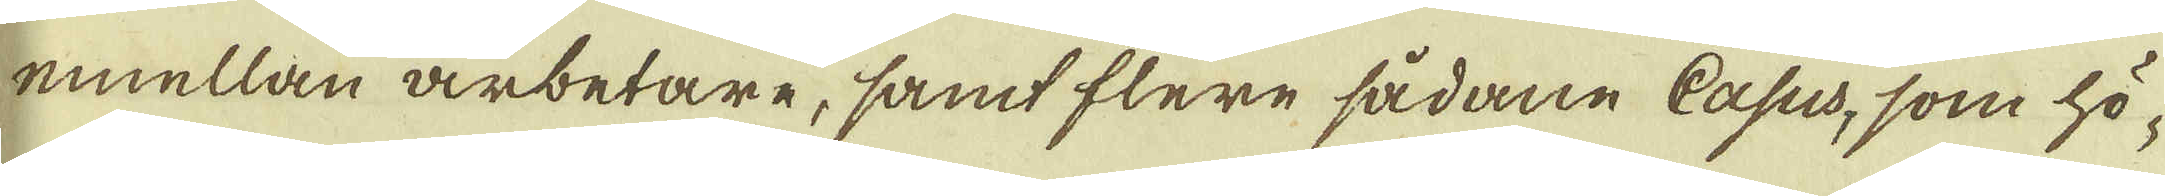emellan arbetare, samt flere sådane Casus, som hö-
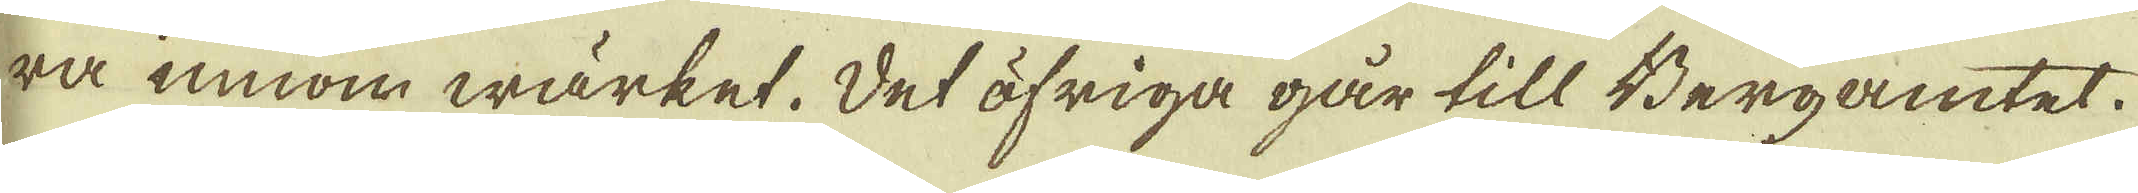ra innom wärket. Det öfriga går till Bergamtet.
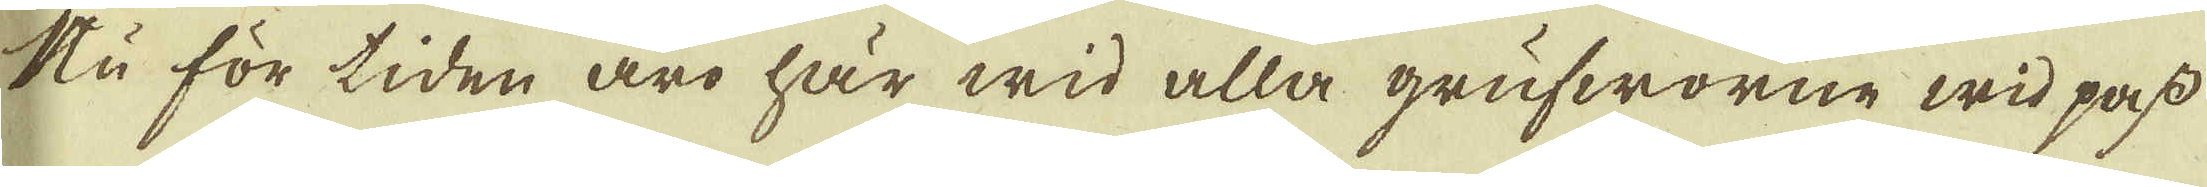Nu för tiden äro här wid alla grufworne wid pass
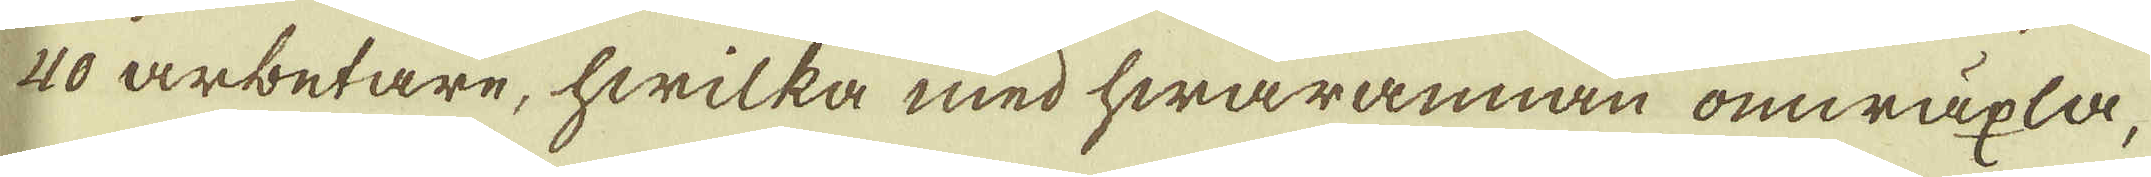40 arbetare, hwilka med hwarannan omwäxla,
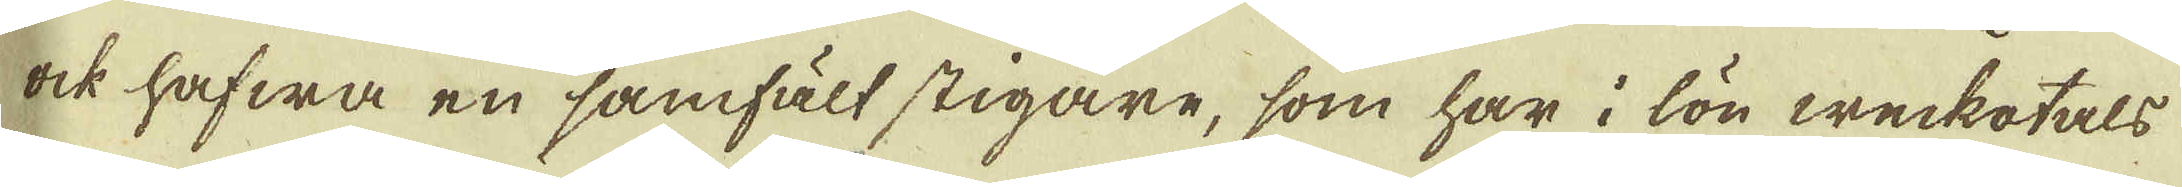ock hafwa en samfält stigare, som har i lön weckotals
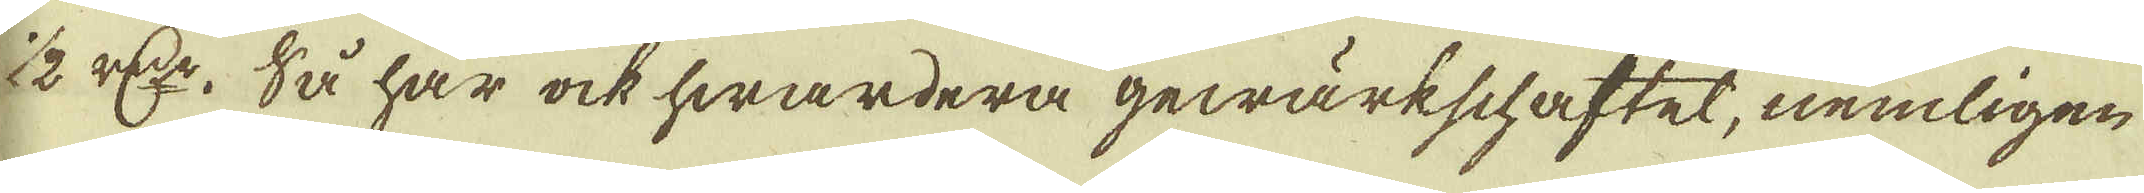1/2 r:dr. Så har ock hwardera gewärkschaftet, nemligen
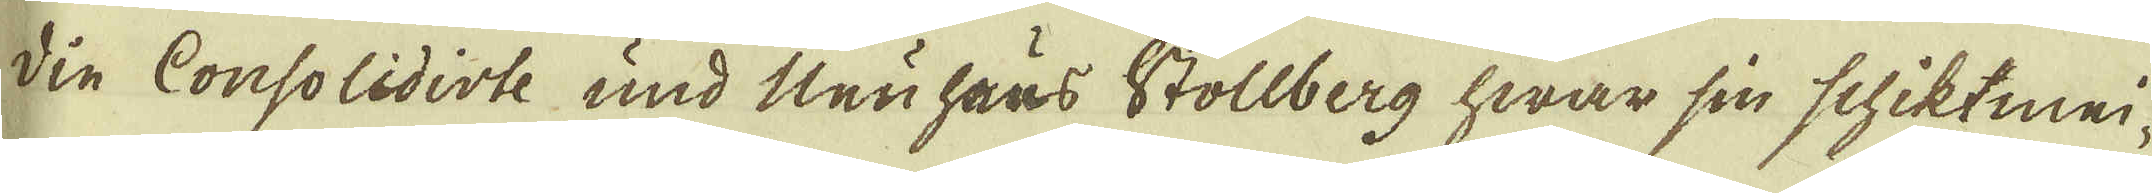din Consolidiste und Neu haus Stollberg hwar sin schiktmei-
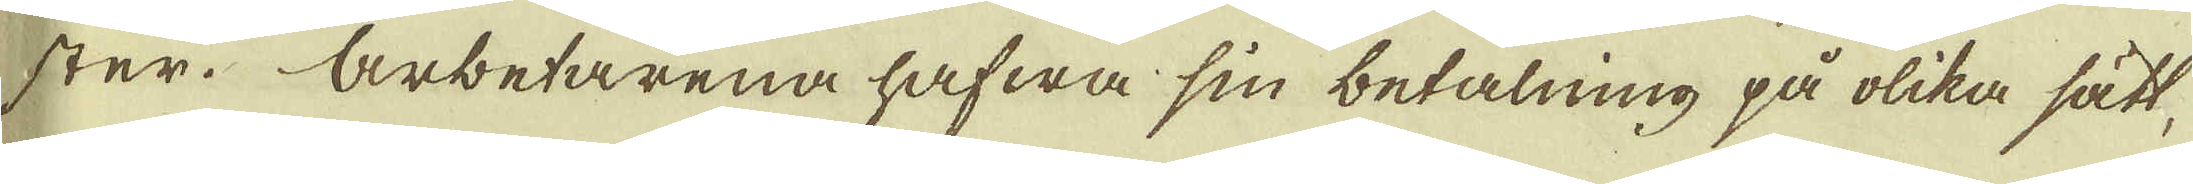ster. Arbetarena hafwa sin betalning på olika sätt,
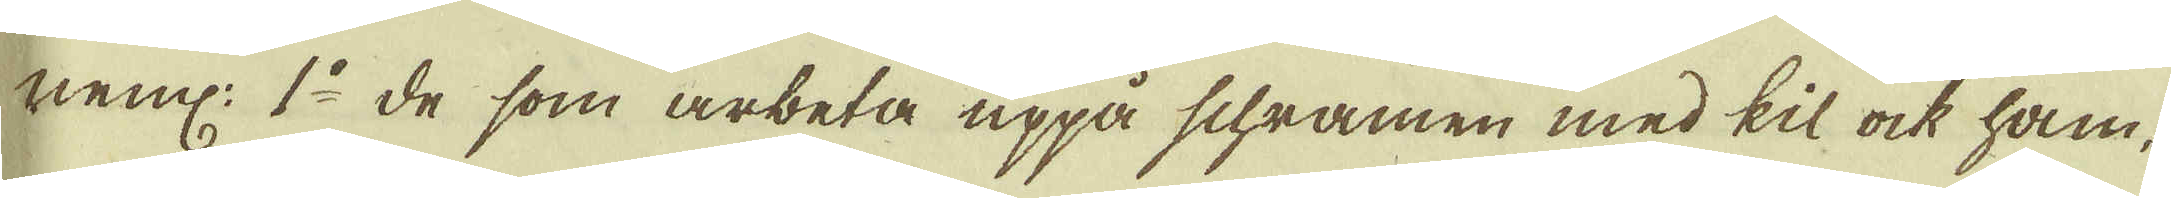neml: 1:o de som arbeta uppå schramen med kil ock ham-
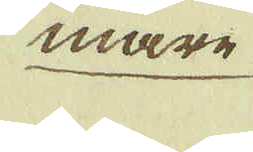mare
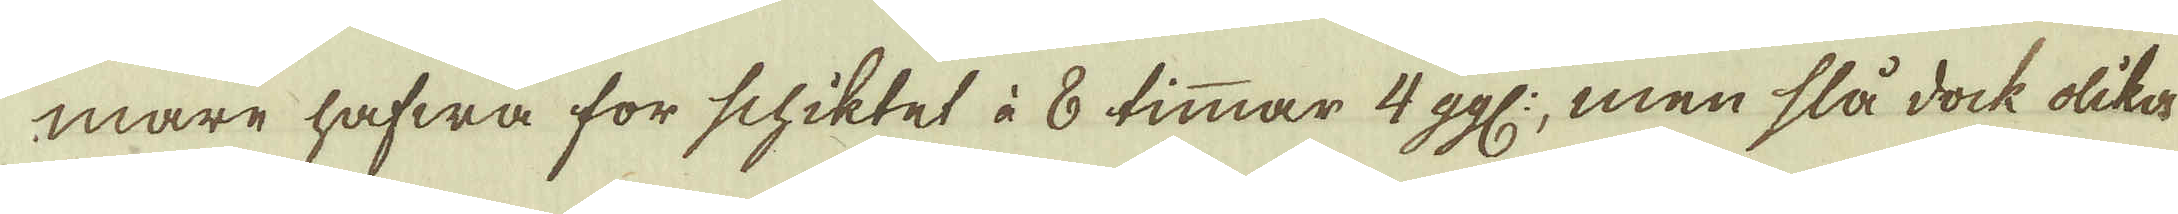mare hafwa för schiktet à 8 timmar 4 ggl:, men slå dock olika
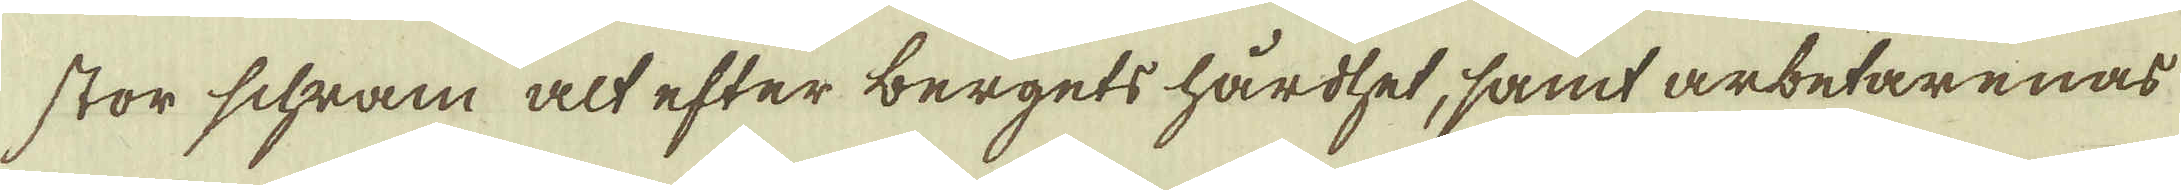stor schram alt efter bergets hårdhet, samt arbetarenas
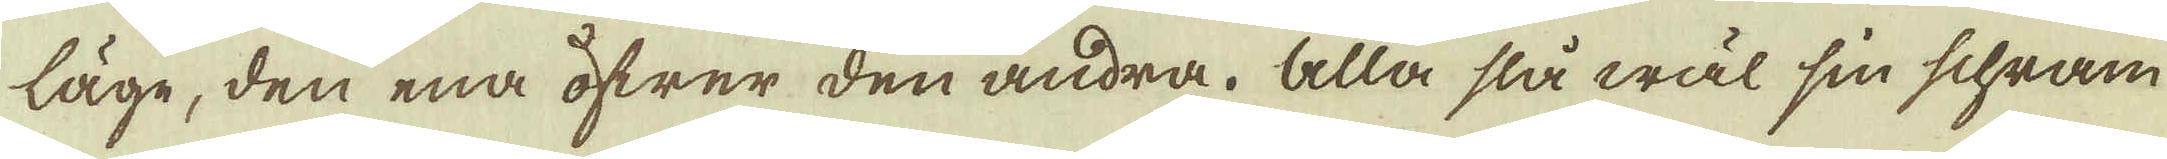läge, den ena öfwer den andra. Alla slå wäl sin schram
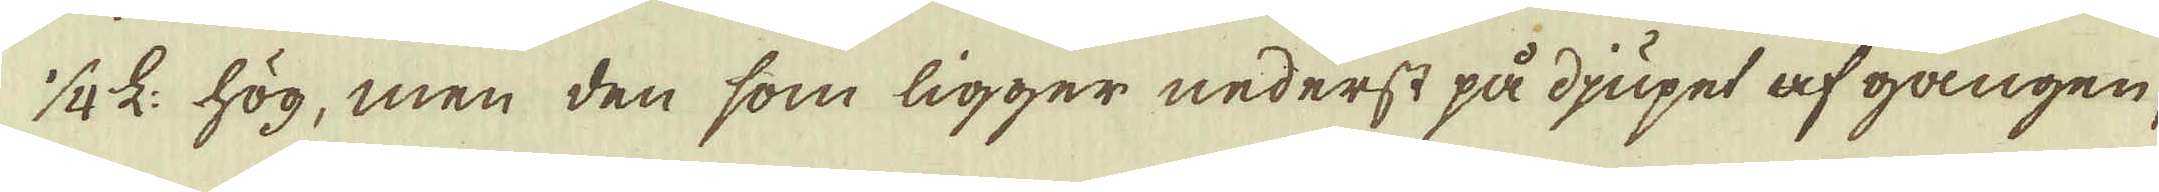10 L: hög, men den som ligger nederst på djupet af gången
